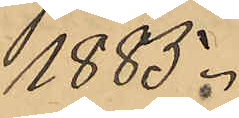1885.
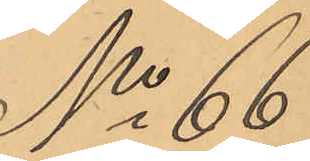No 66
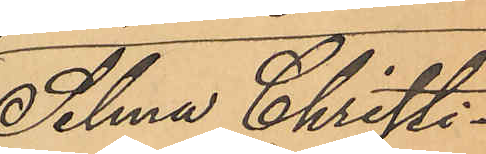Selma Christi¬
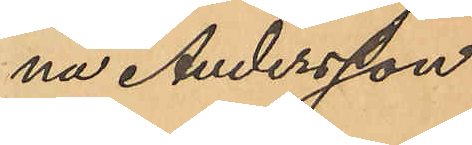na Andersson.
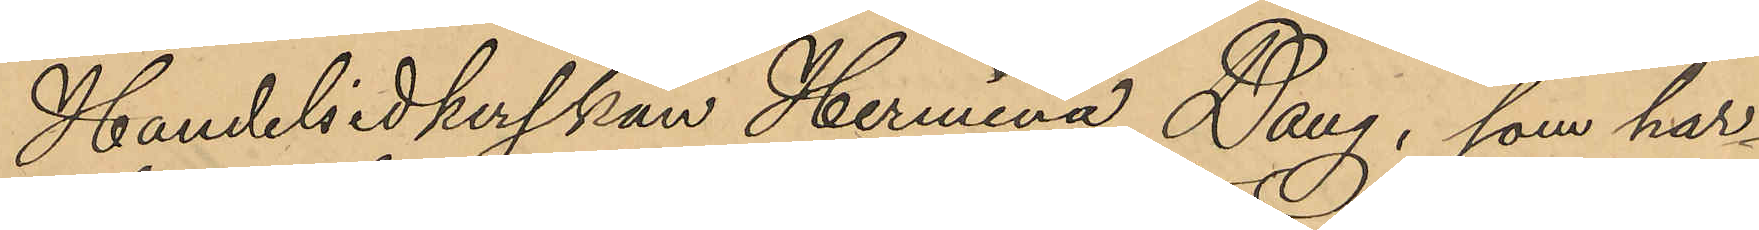Handelsidkerskan Hermina Dang, som har
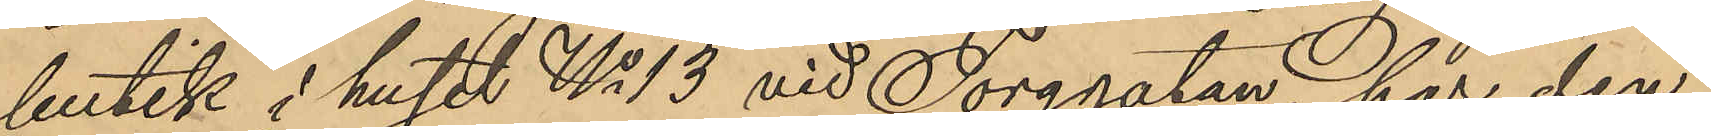butik i huset No 13 vid Torggatan, har den
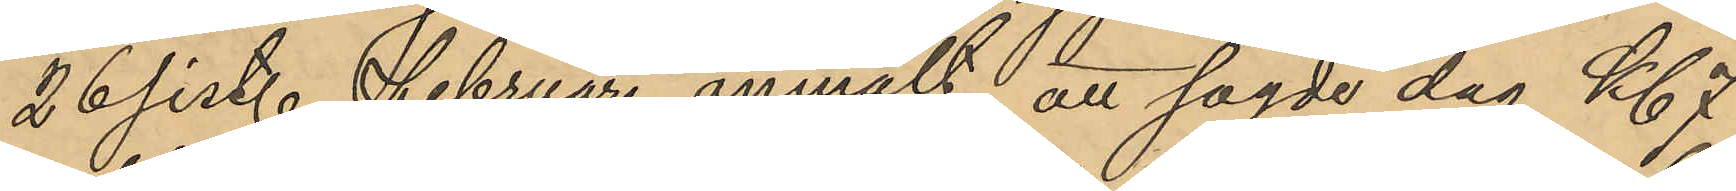26 sist. Februari anmält, att sagde dag Kl. 7
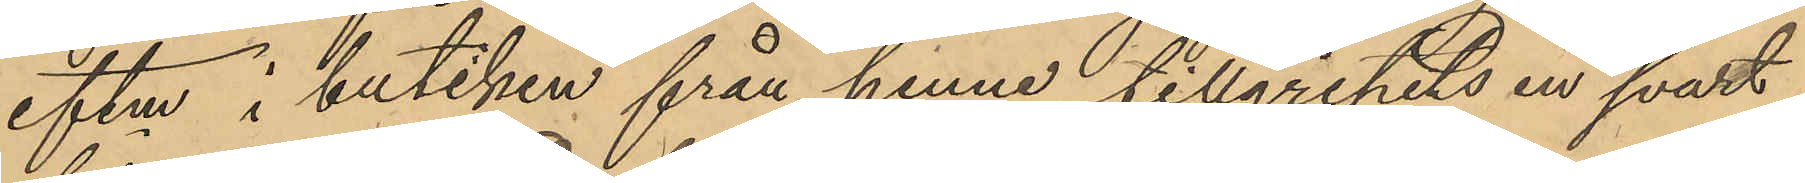eftm i butiken från henne tillgripits en svart
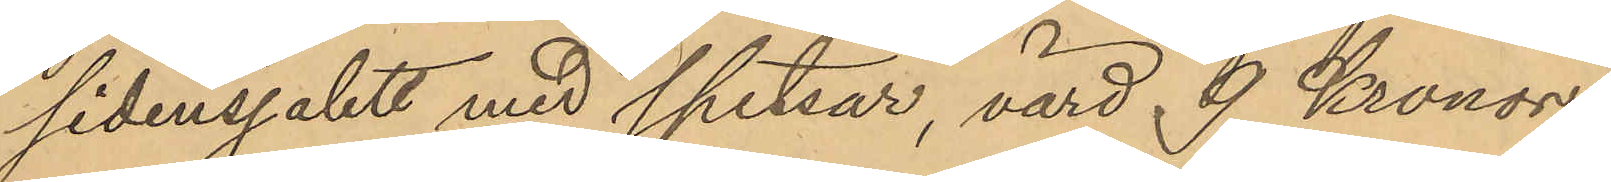sidensjalett med spetsar, värd 9 Kronor
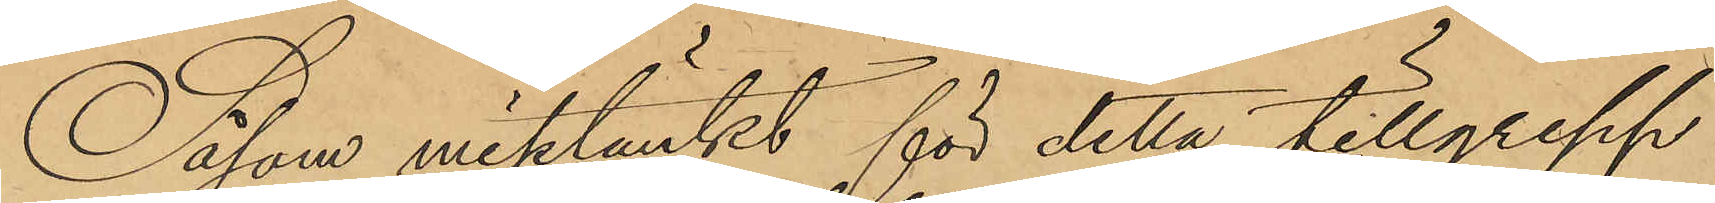Såsom misstänkt för detta tillgrepp
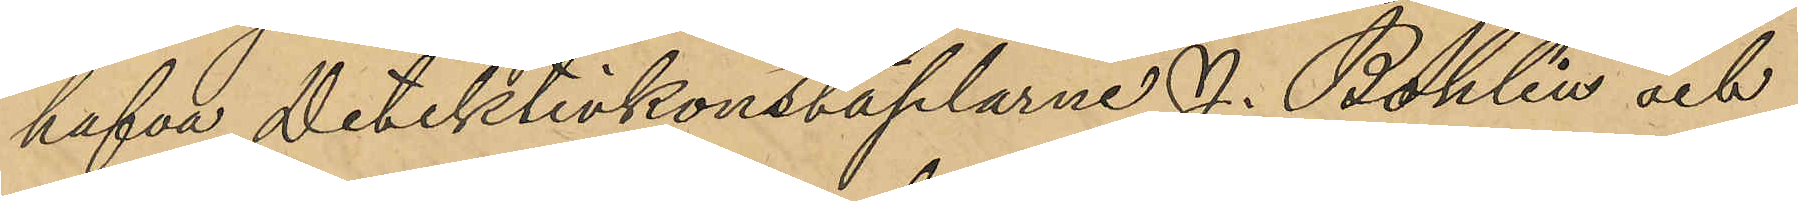hafva Detektivkonstaplarne J. Bohlin och
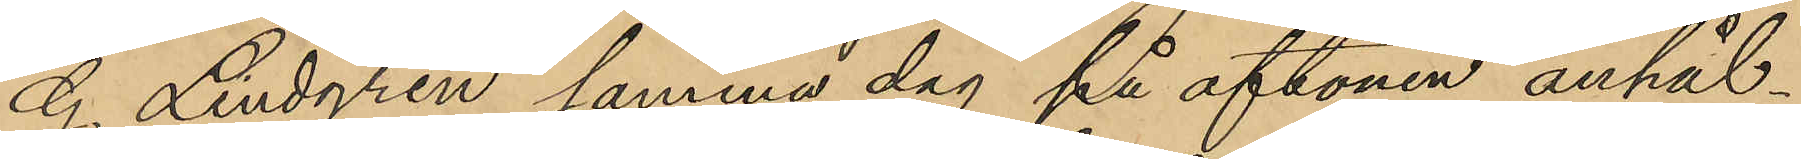G Lindgren samma dag på aftonen anhål¬
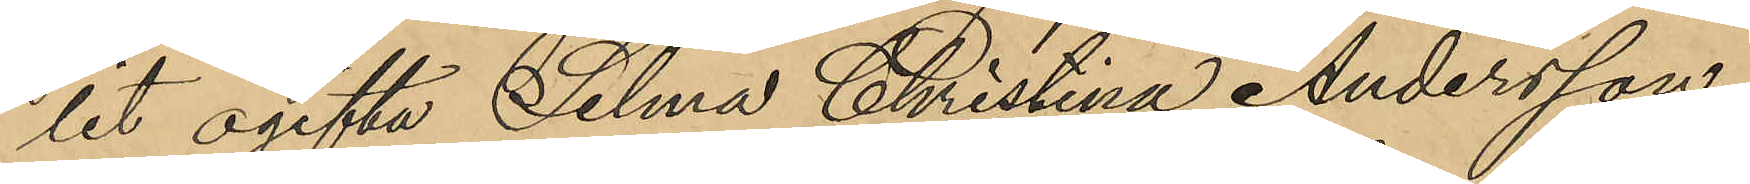lit ogifta Selma Christina Andersson
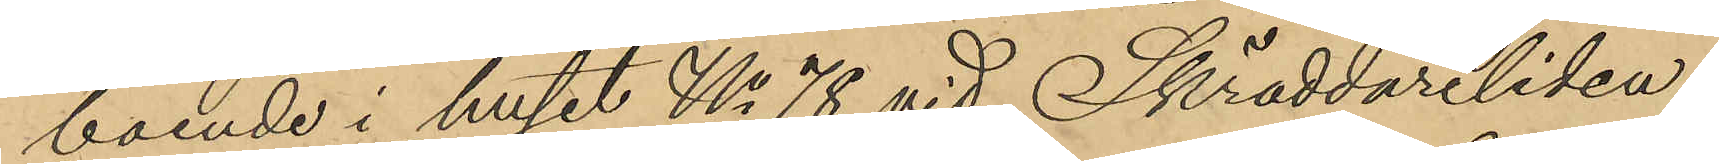boende i huset No 78 vid Skräddareliden,
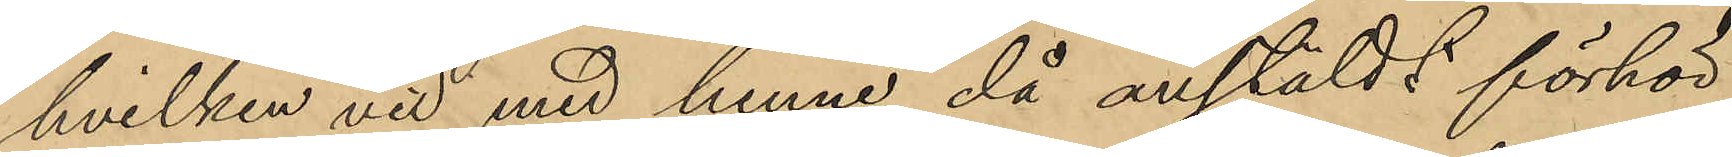hvilken vid med henne då anstäldt förhör
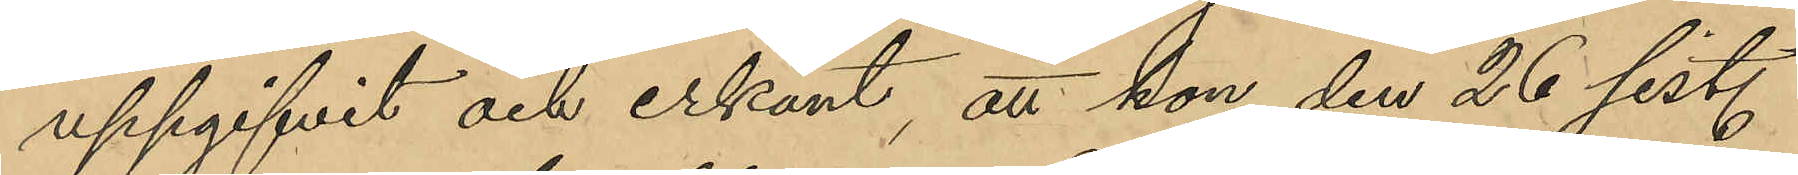uppgifvit och erkänt, att hon den 26 sist.
